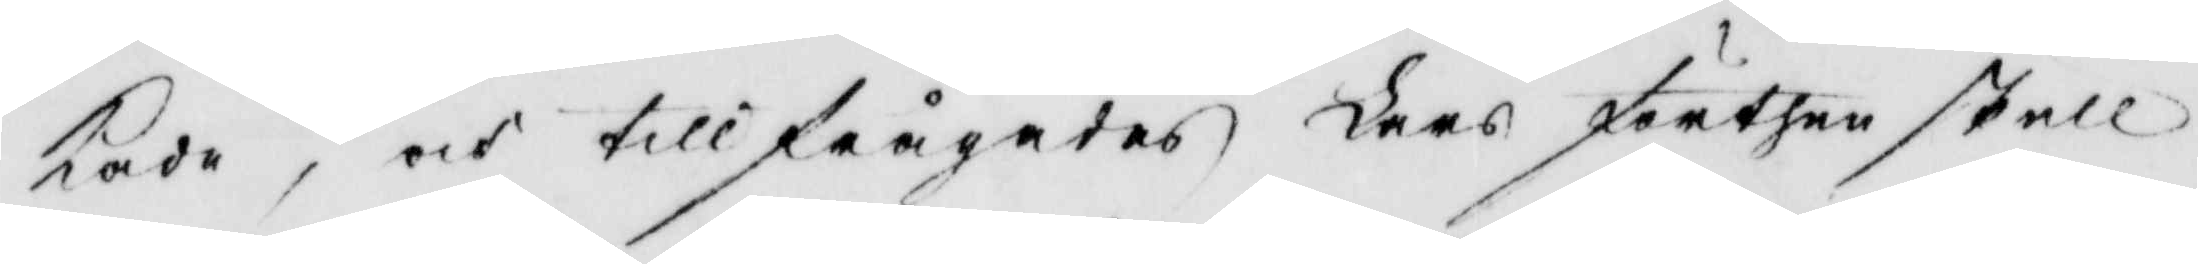kade, och tillfrågades Lars förthen skull
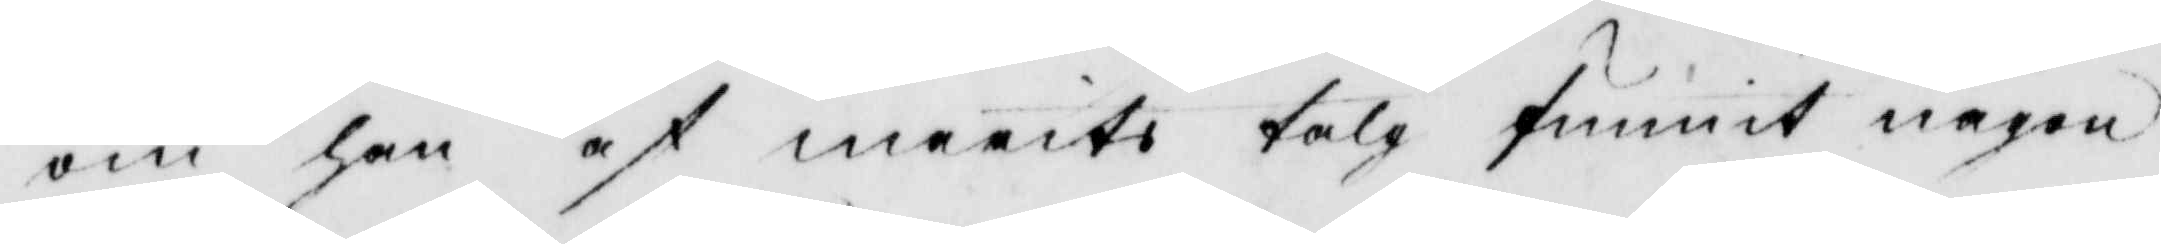om han af marits talg funnit någon
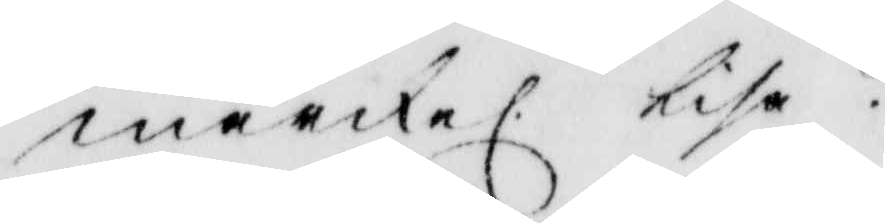märkel. lisa?
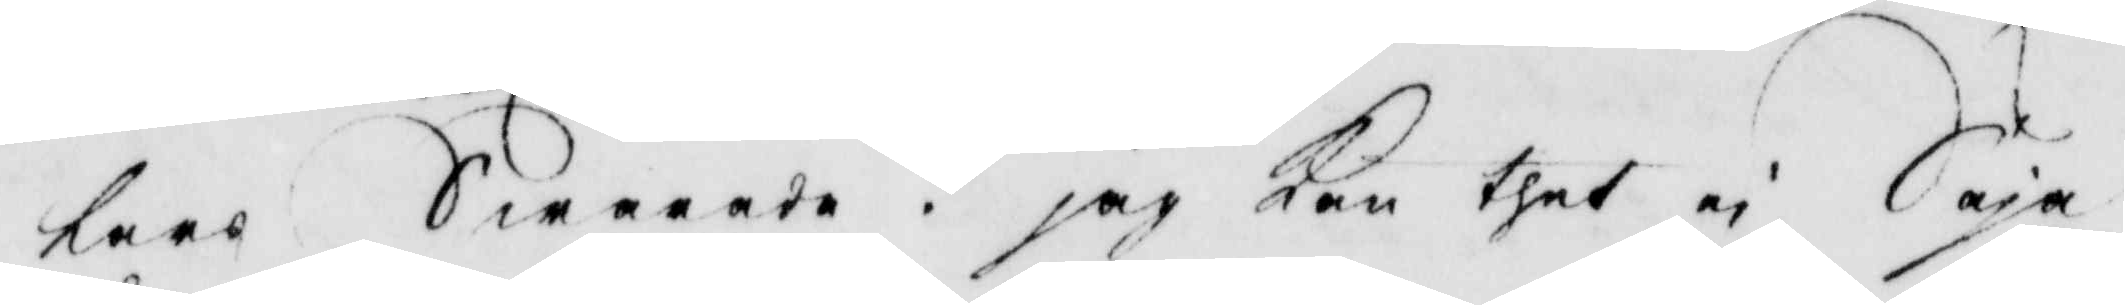Lars Swarade. jag Kan thet ei Säja
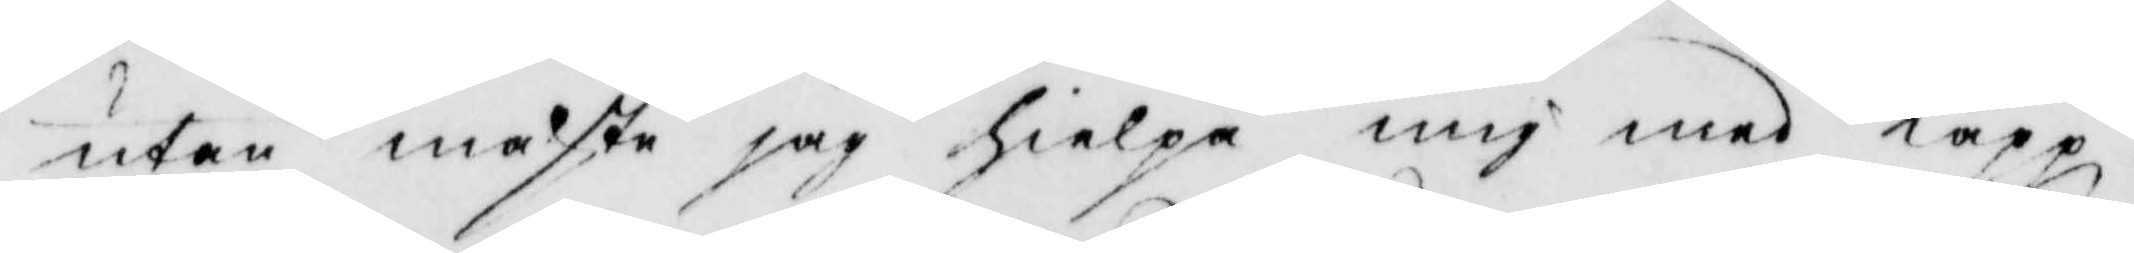utan måste jag hilepa mig med Käpp
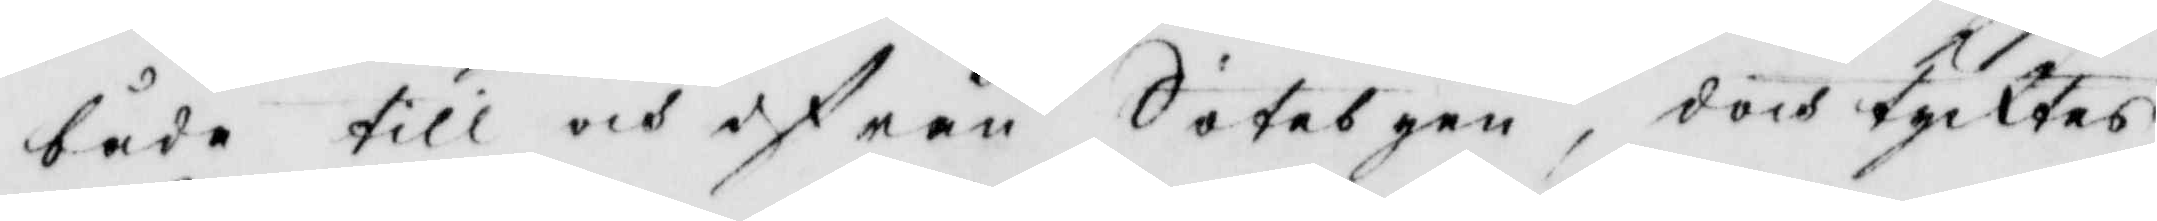både till och ifrån Sotebyen, doch tycktes
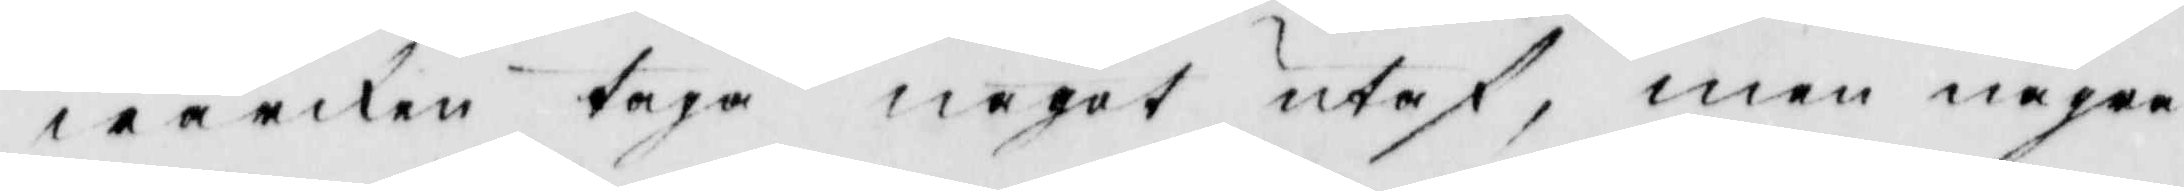wärken taga något utaf, men några
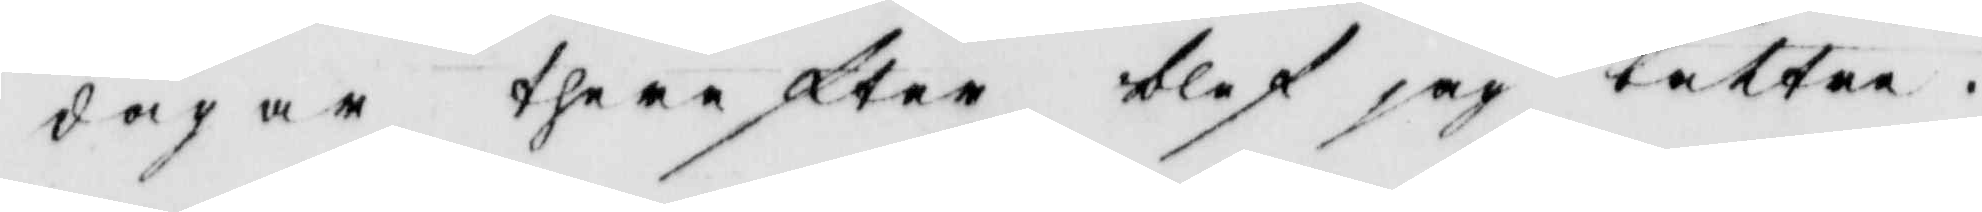dagar therefter blef jag bättre.
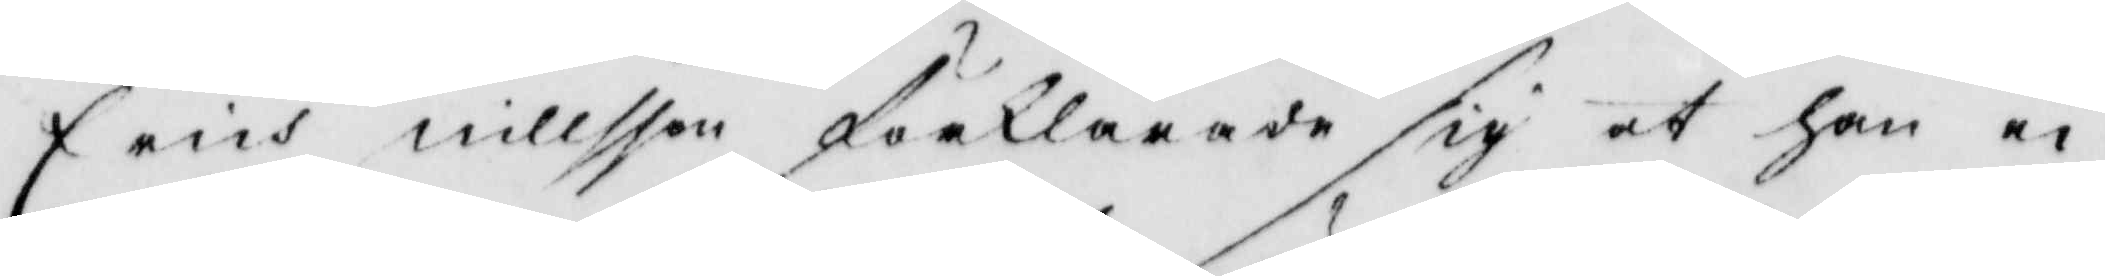Erich Nillsson förklarade sig at han ei
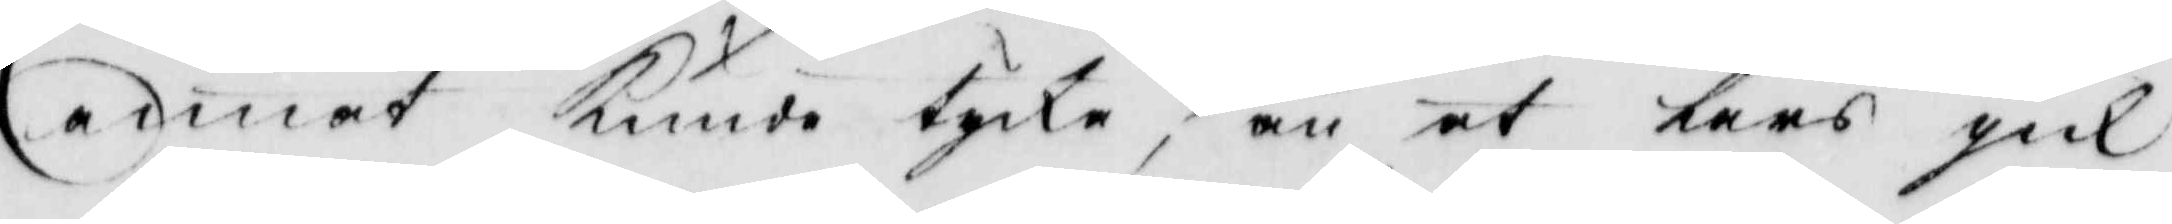annat Kunde tycka, än at Lars gick
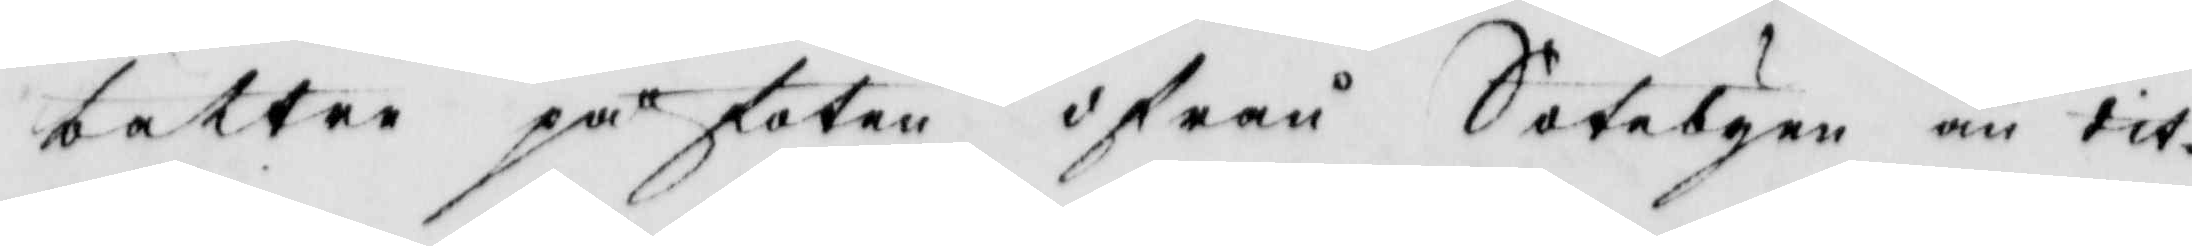bättre på foten, ifrån Sotebyen är tit.
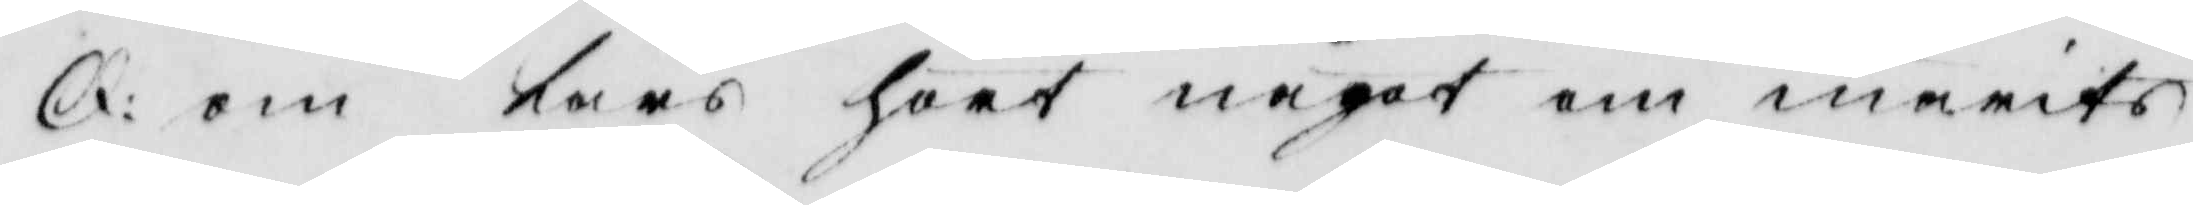Q: om  Lars hört något om marits
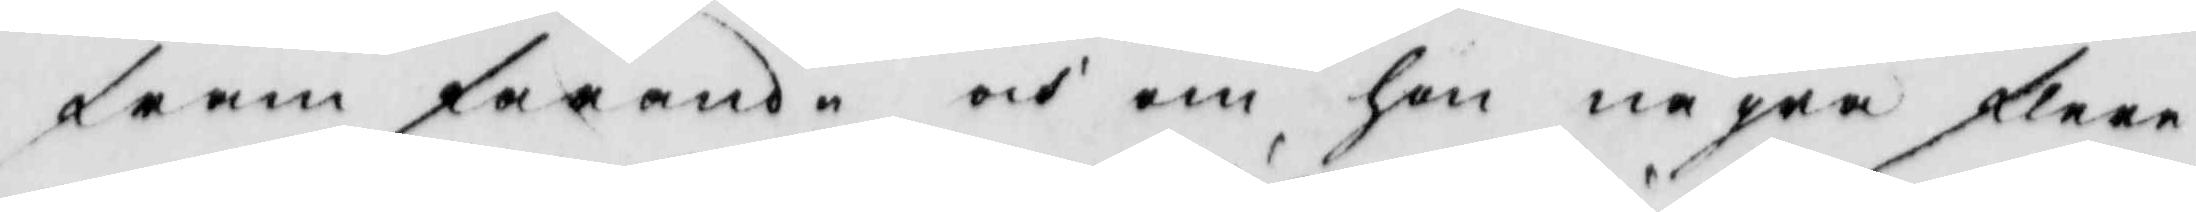framfarande och om hon några flera
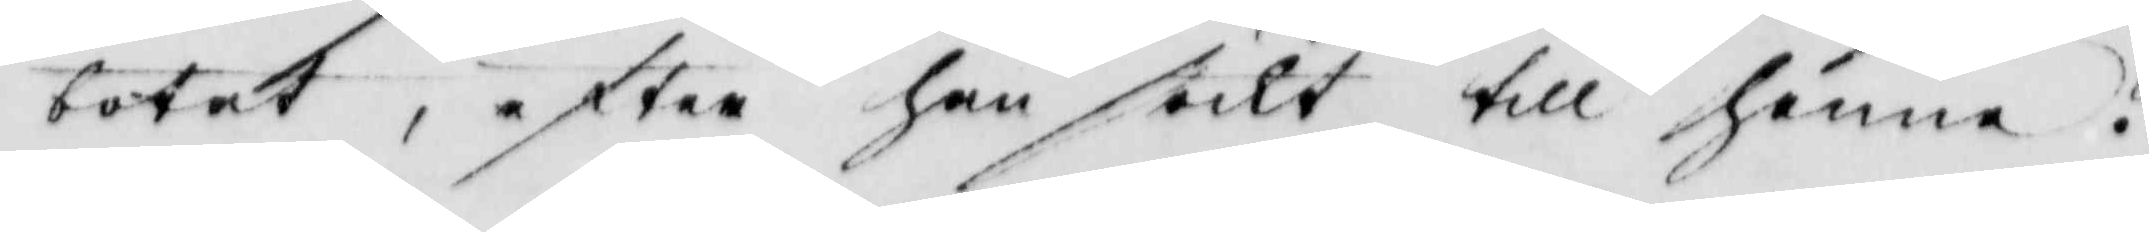botat, efter han sökt till henne?
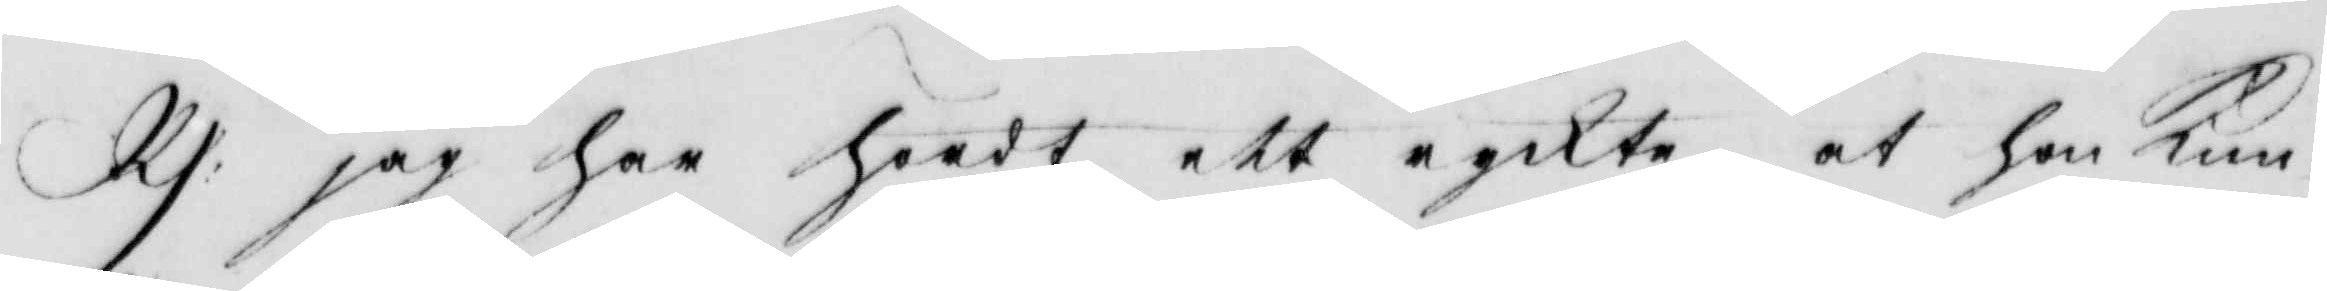Rs: jag har hördt ett ryckte at hon Kun¬
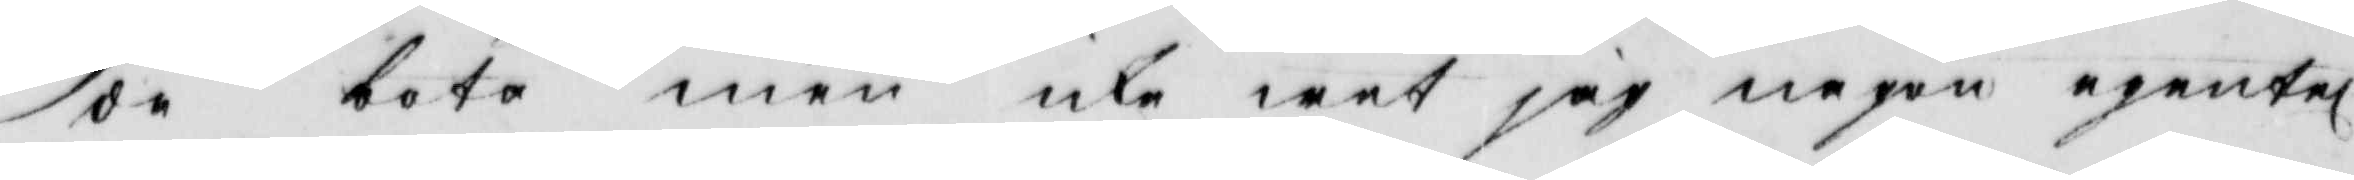de bota men icke wet jag någon egentl
